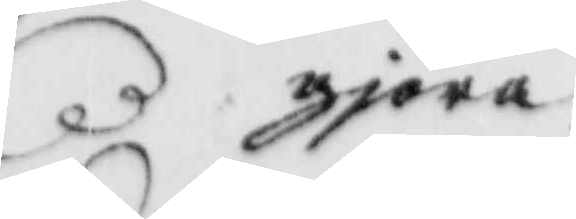gjöra
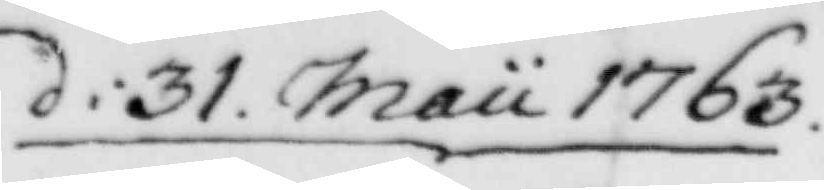d: 31. Maii 1763.
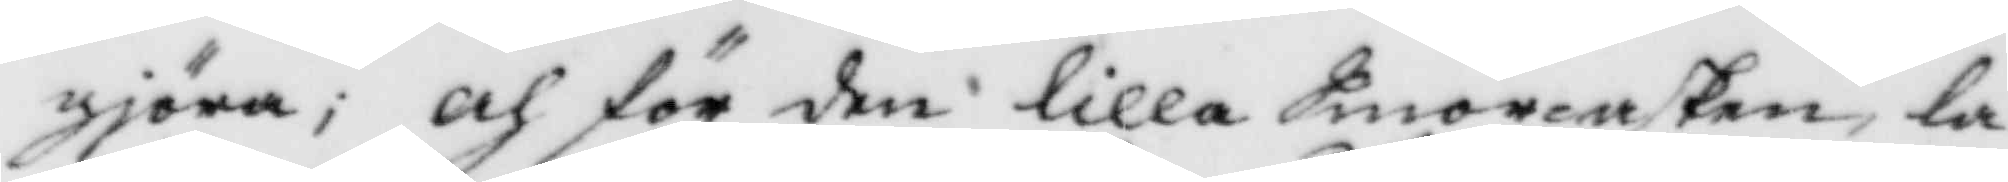gjöra; och för den lilla Smörasken, la¬
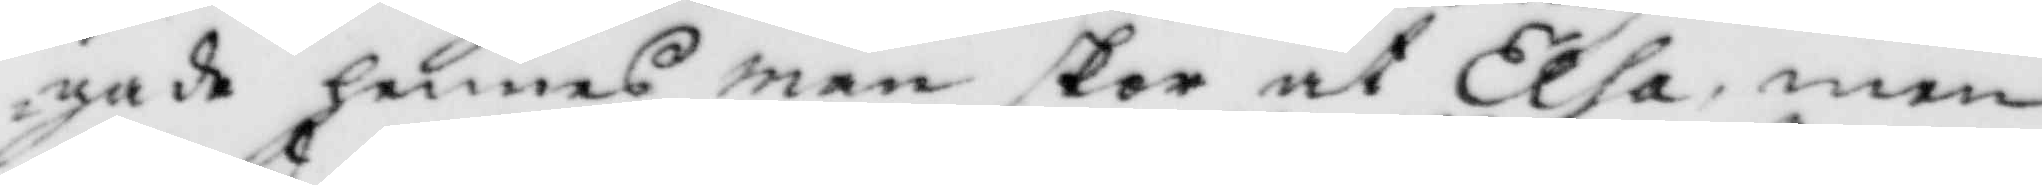gade hennes man skor åt Elsa, men
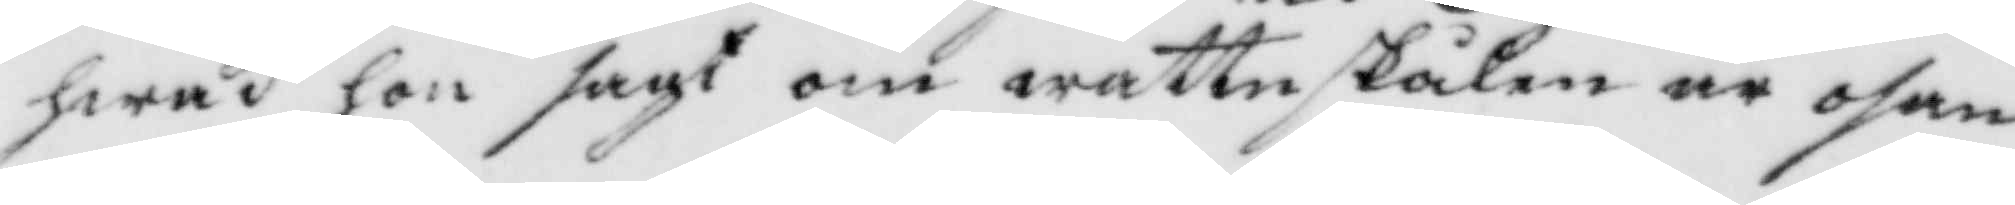hwad hon sagt om wattnskålen är osan¬
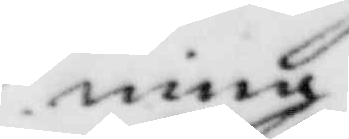ning.
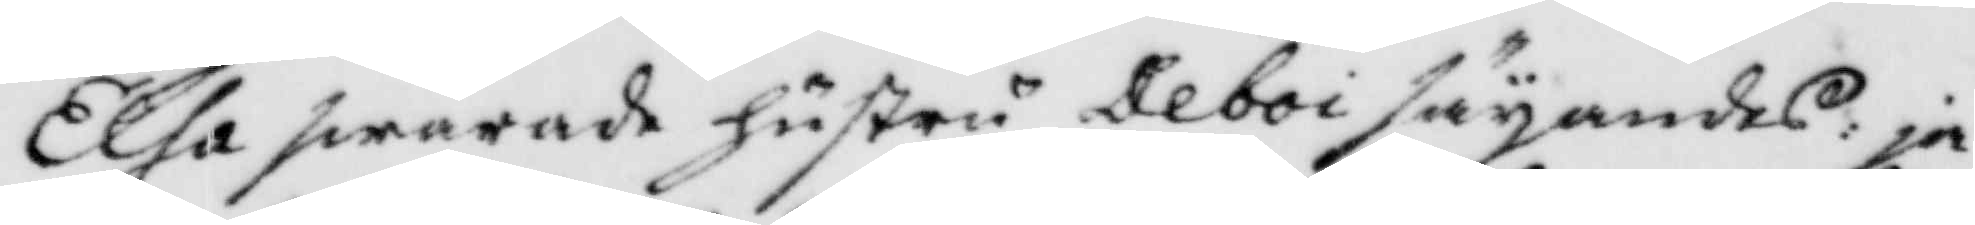Elsa swarade hustru Deboi säyandes:ja,
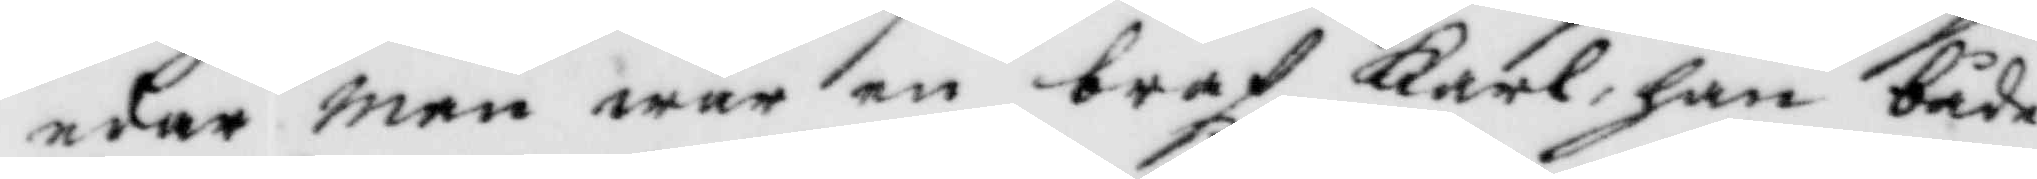eder man war en braf Karl, han både
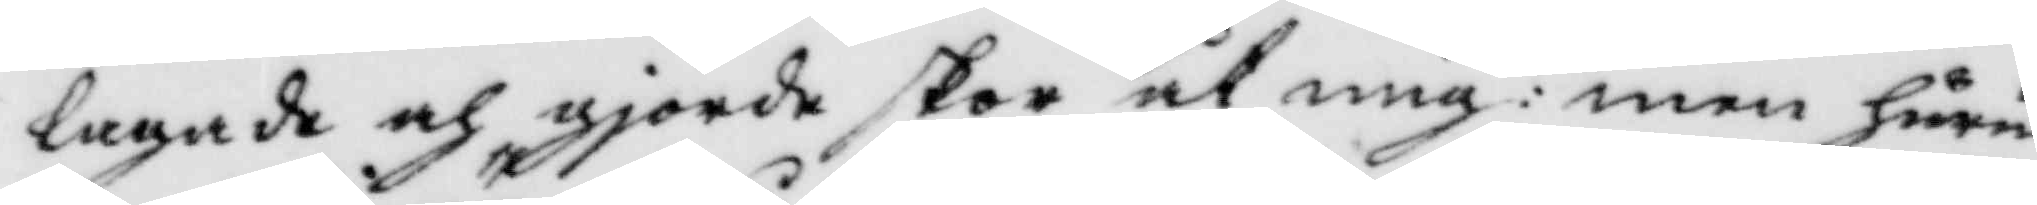lagade och gjorde skor åt mig: men huru
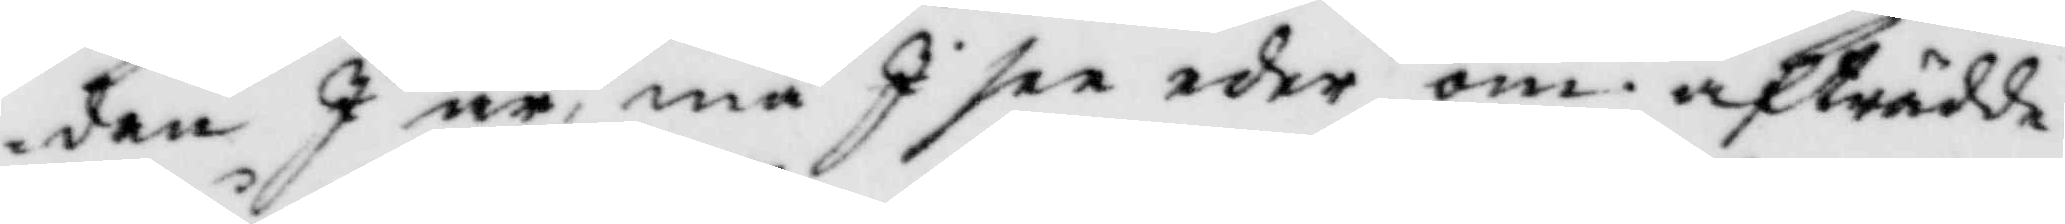dan I är, må I see eder om. afträdde,
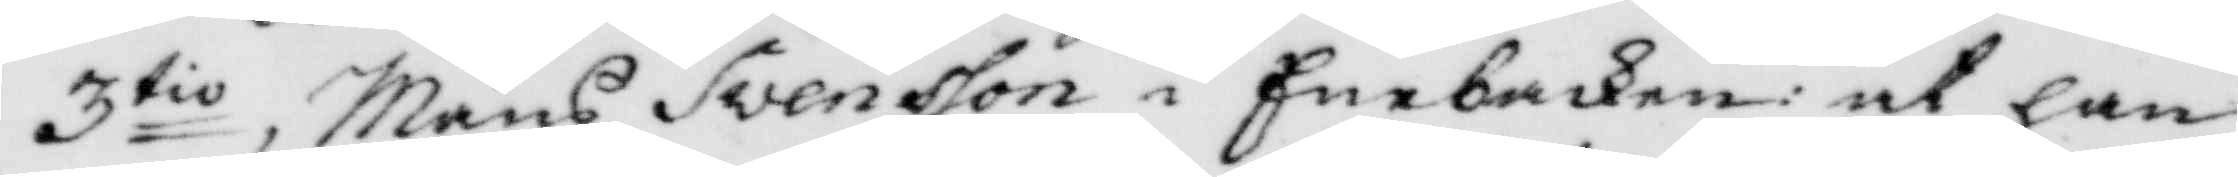3tio, Måns Svensson i Enebacken: at han
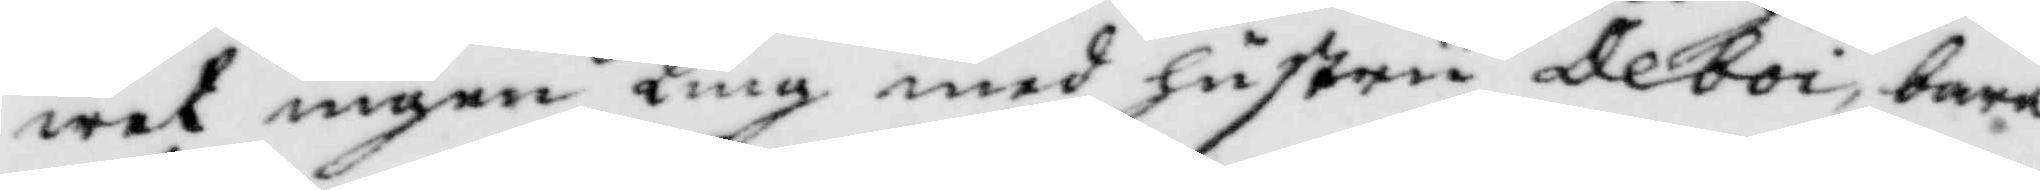wet ingen ting med hustru Deboi, bara
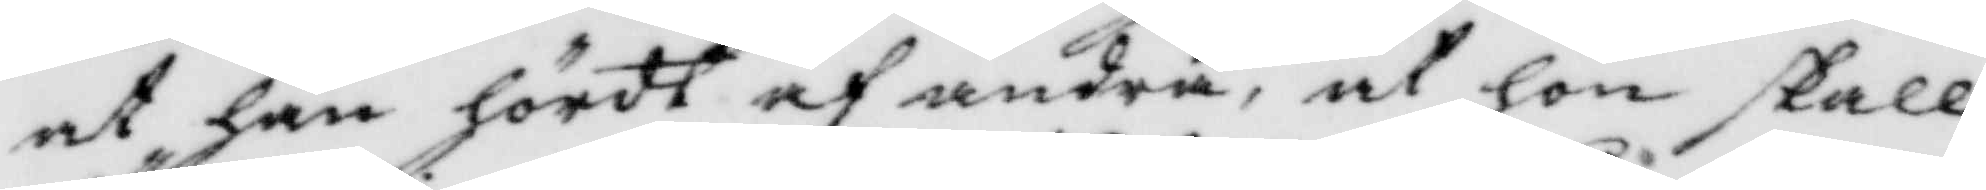at han hördt af andra, at hon skall
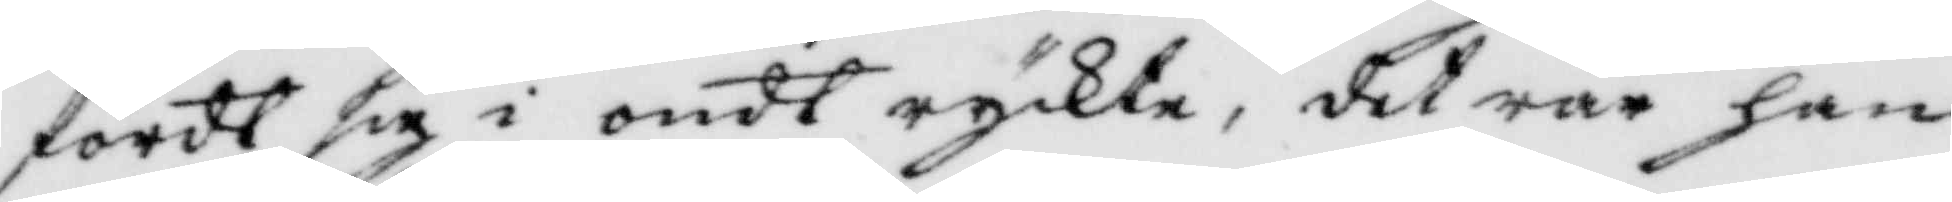fördt sig i ondt ryckte, det rår han
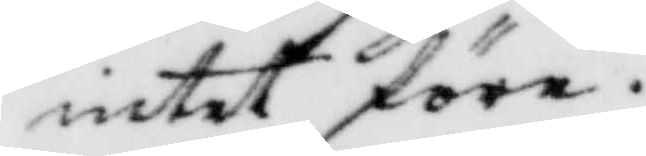intet före.
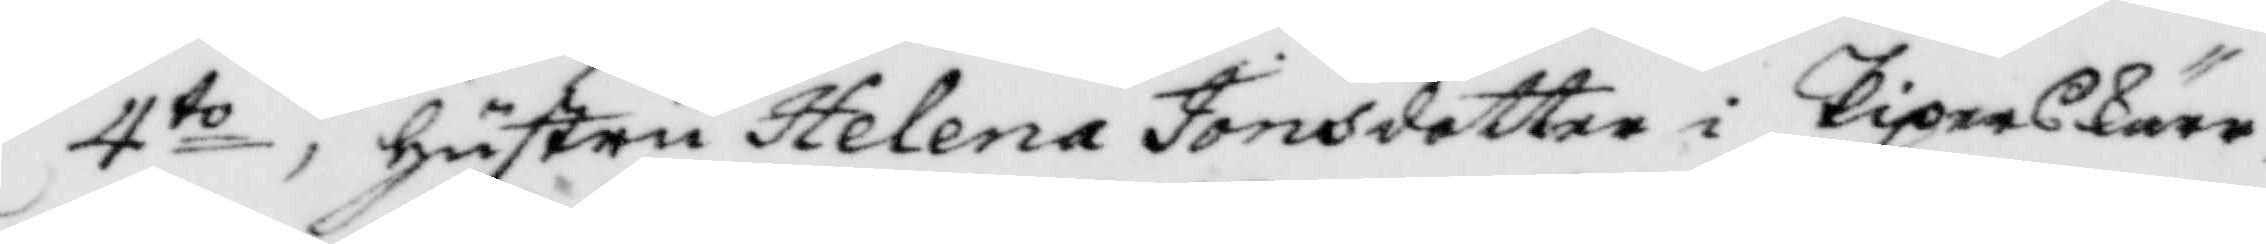4to, hustru Helena Jonasdotter i Piperskärr
